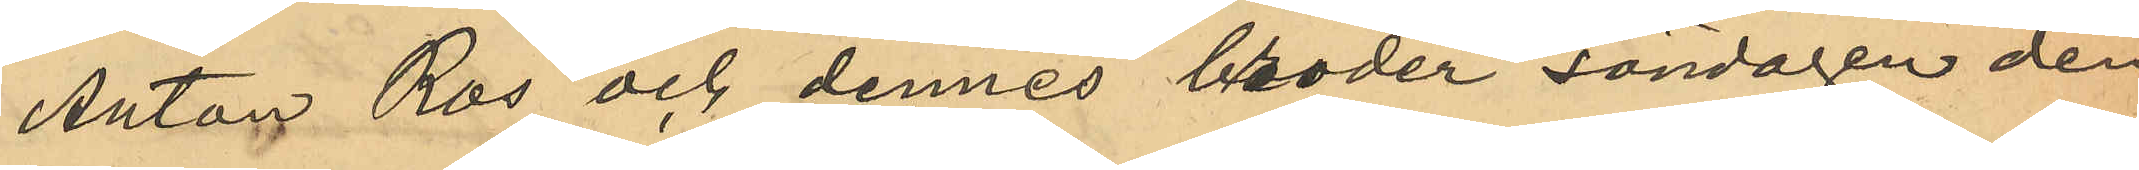Anton Ros och dennes broder söndagen den
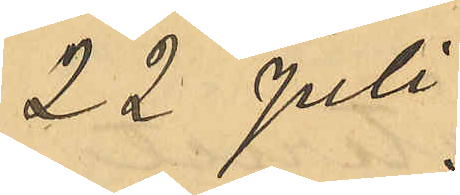22 Juli 
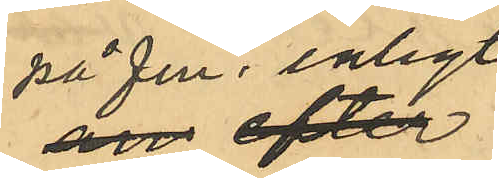på fm. enligt
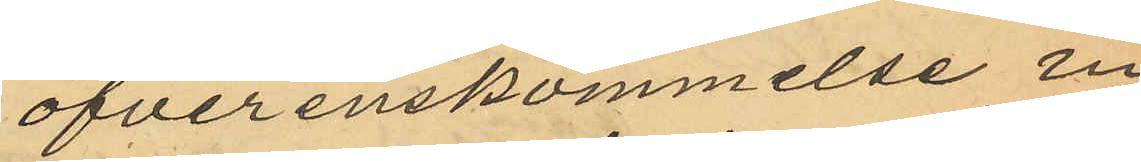öfverenskommelse in¬
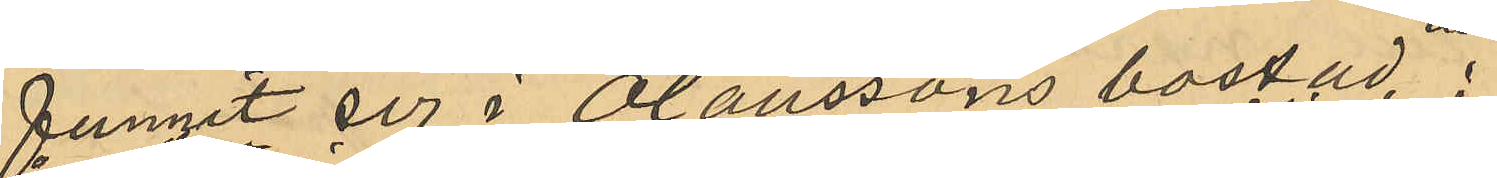funnit sig i Olaussons bostad
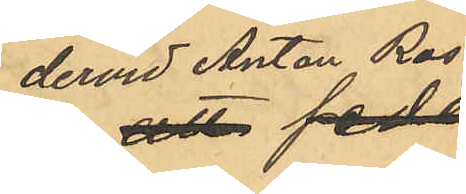dervid Anton Ros 
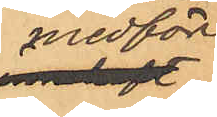medfört
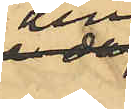den
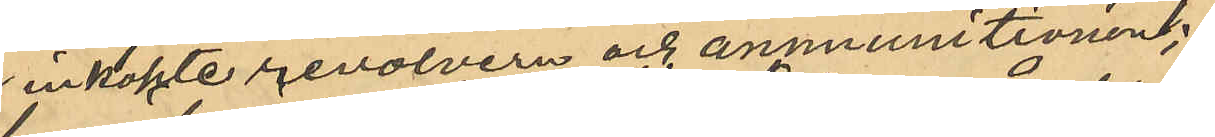inköpte revolvern och ammunitionen;
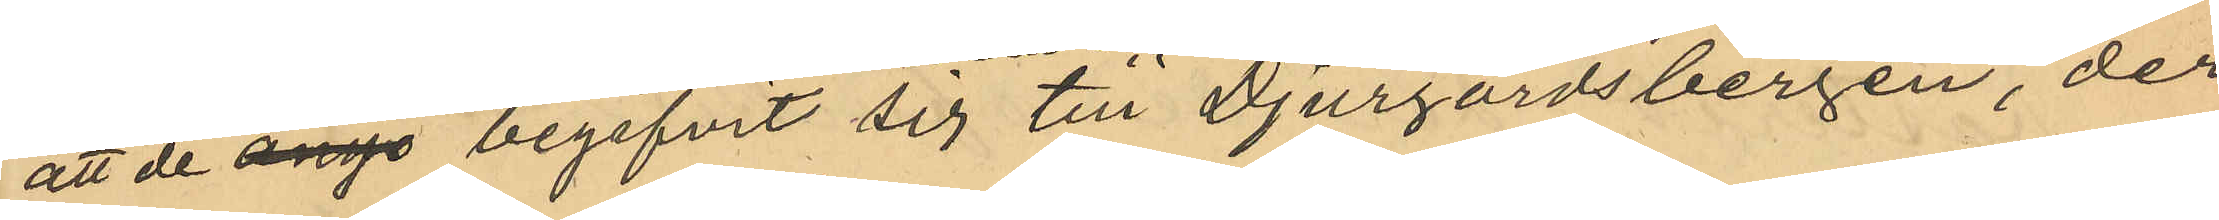att de ånyo begifvit sig till Djurgårdsbergen, der
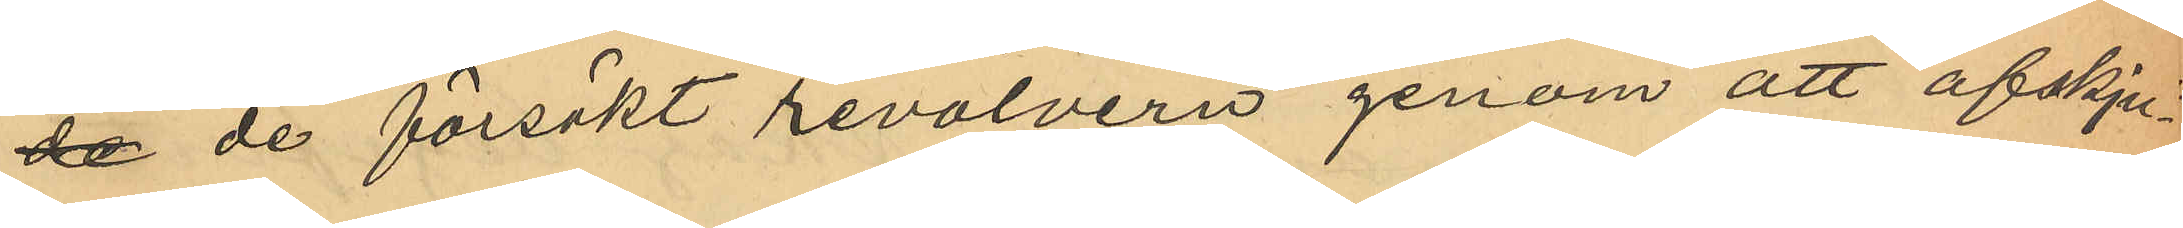de de försökt revolvern genom att afskju¬
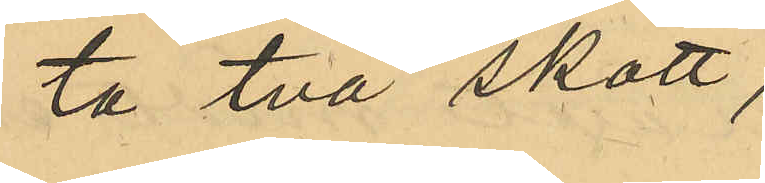ta två skott,
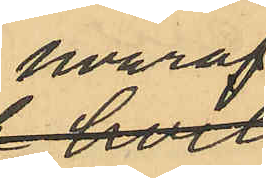hvaraf
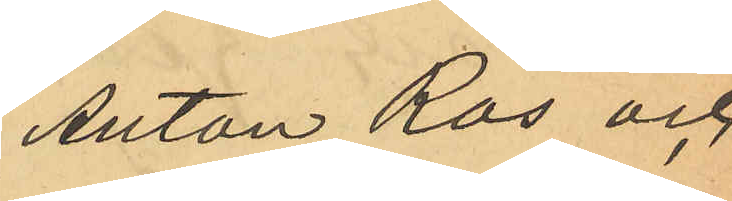Anton Ros och
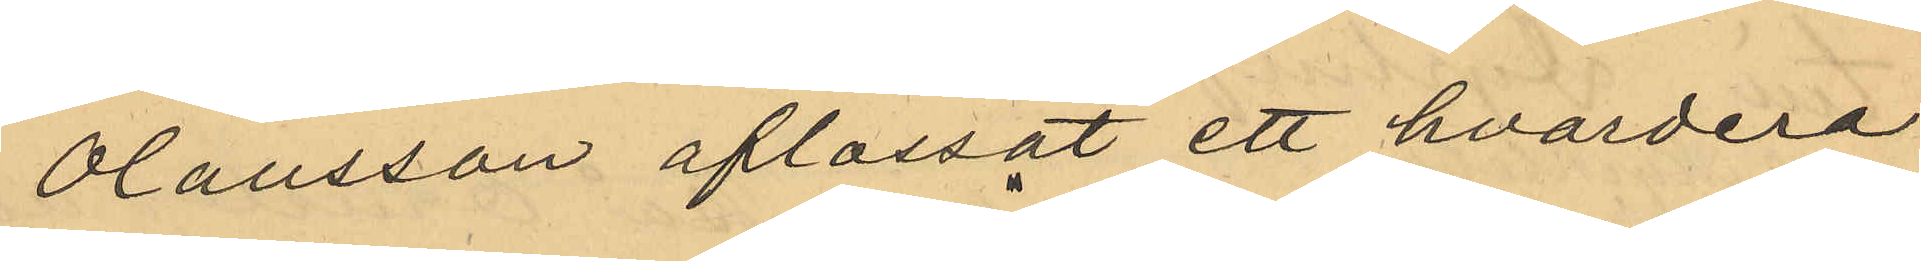Olausson aflossat ett hvardera;
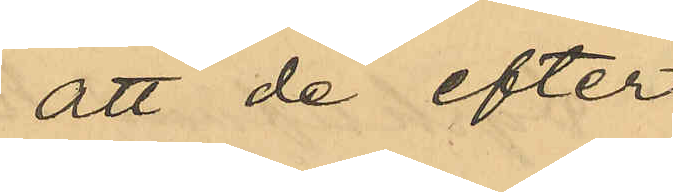att de efter 
